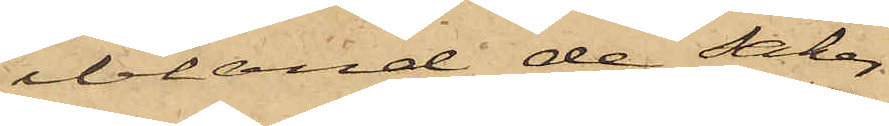ibland de saker
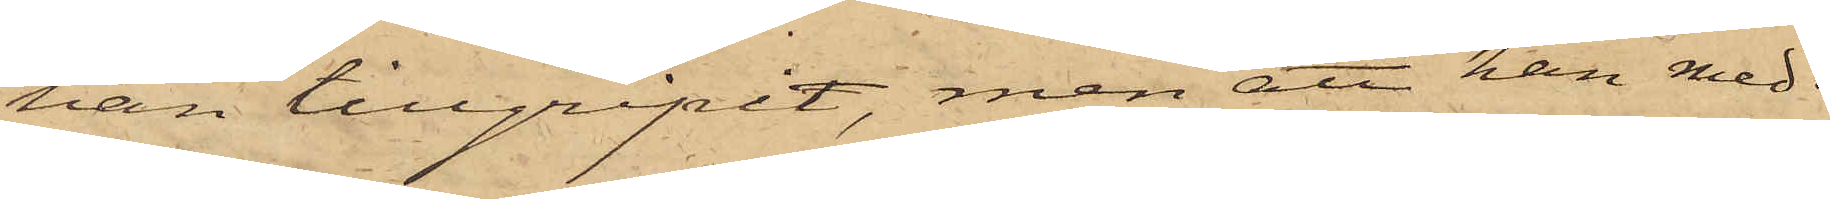han tillgripit, men att han med
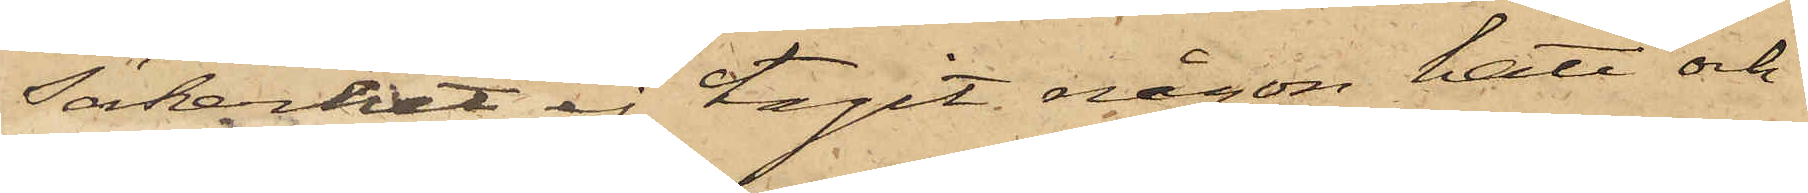säkerhet ej tagit någon hatt och
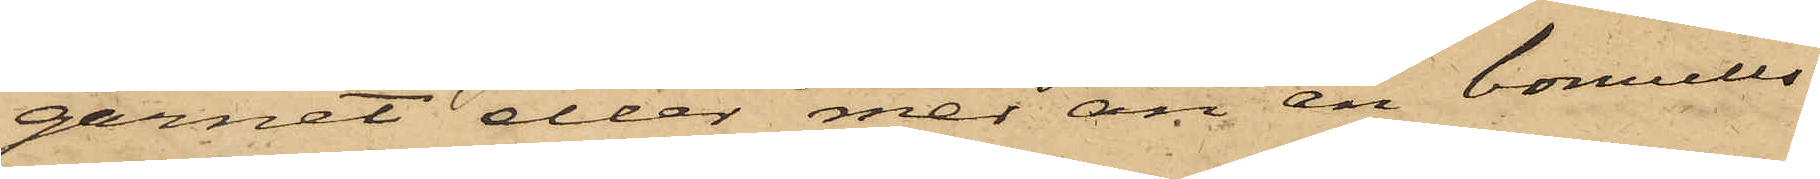garnet eller mer än en bomulls¬
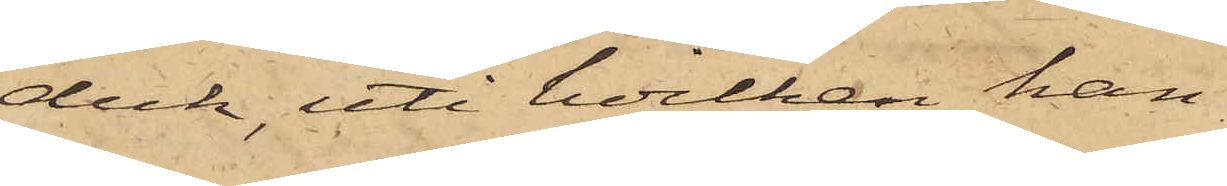duk, uti hvilken han
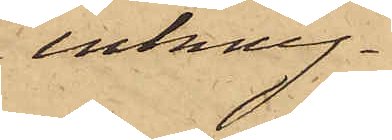inkny¬
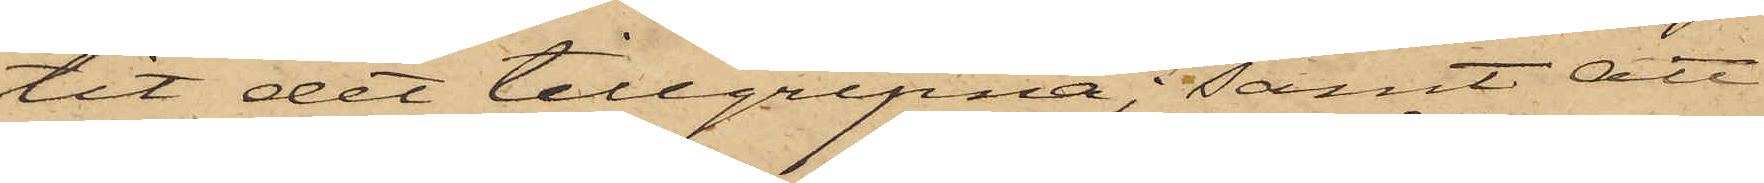tit det tillgripna; samt att
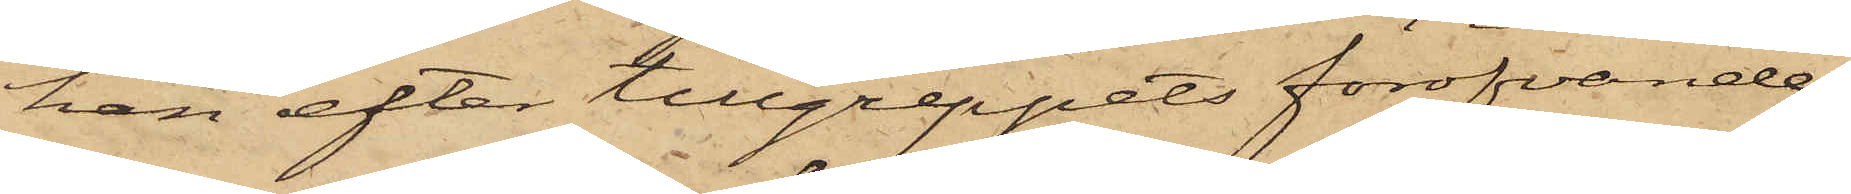han efter tillgreppets föröfvande
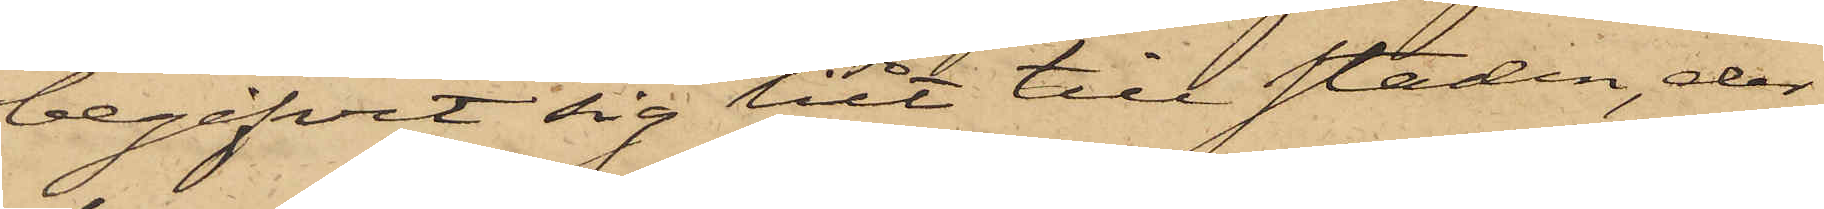begifvit sig hit till staden, der
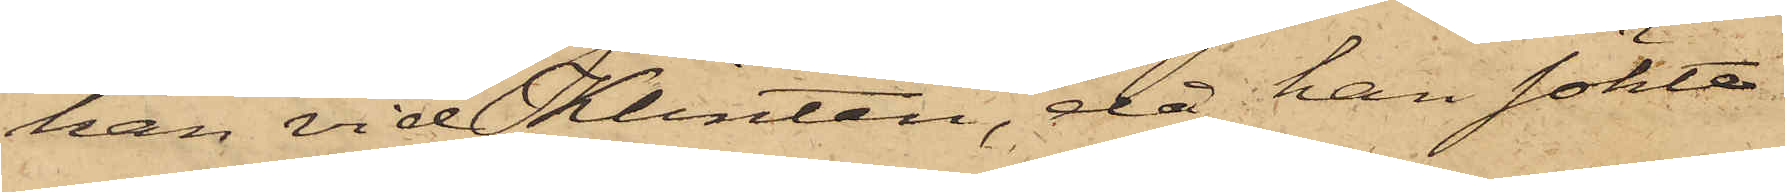han vid Klinten, då han sökte
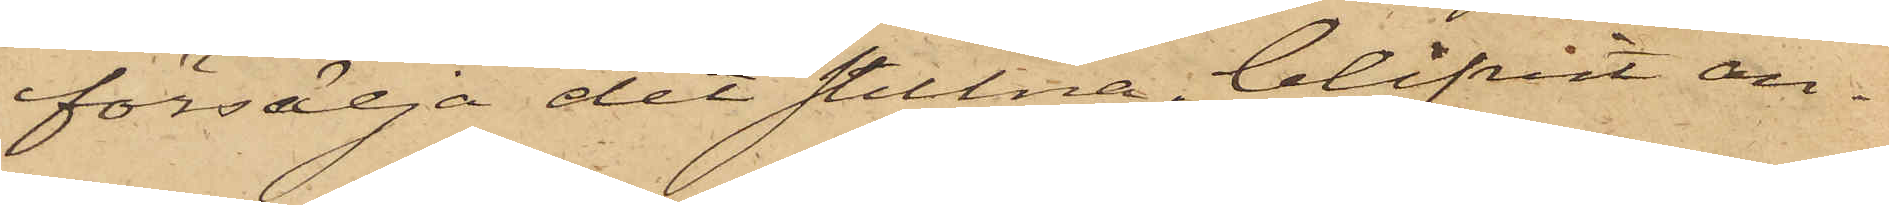försälja det stulna, blifvit an¬
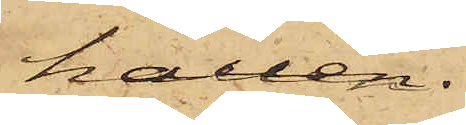hållen.
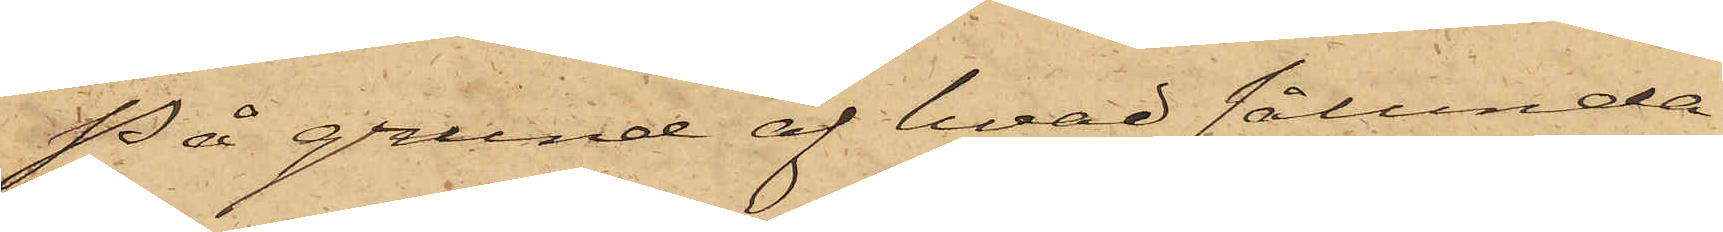På grund af hvad sålunda
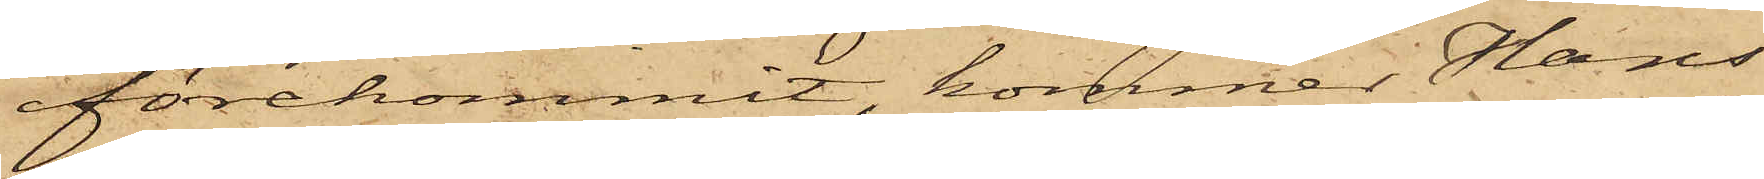förekommit, kommer Hans
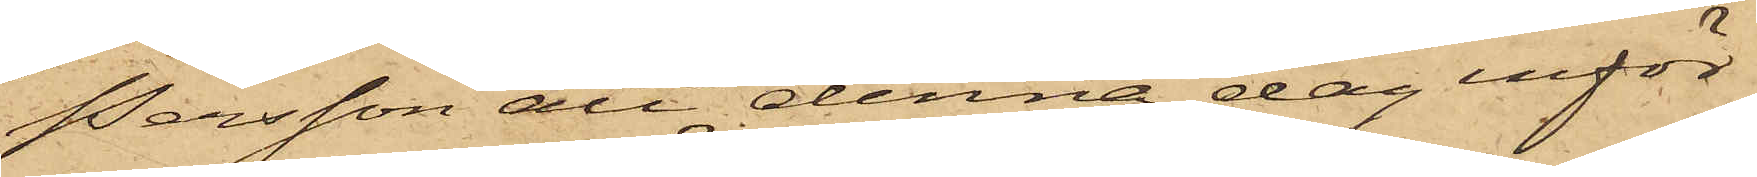Persson att denna dag inför
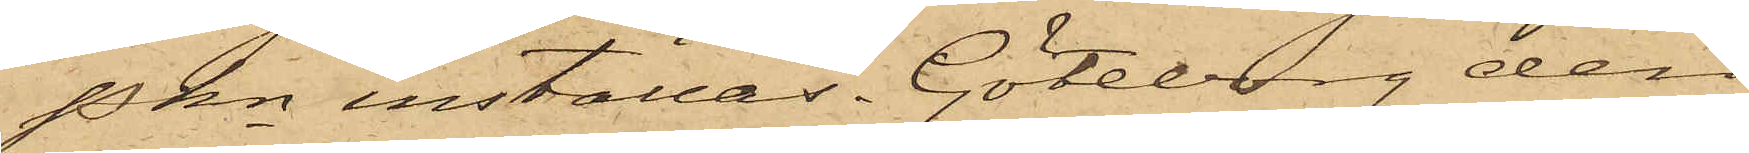PKn inställas. Göteborg den
